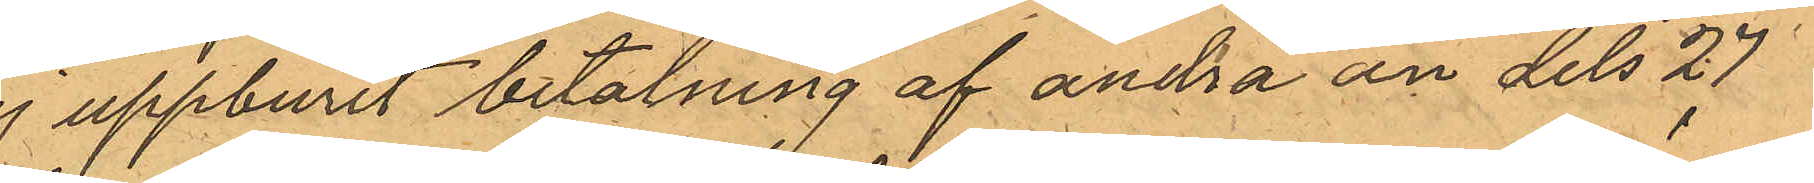ej uppburit betalning af andra än dels 27
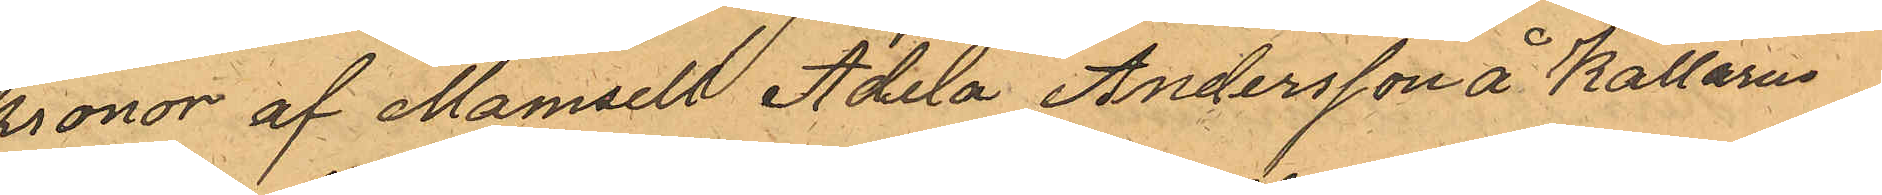kronor af Mamsell Adela Andersson å Källarn
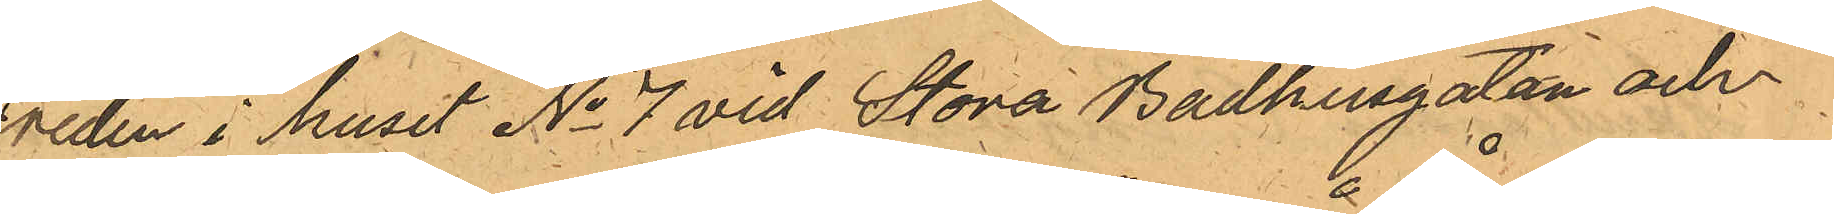Freden i huset No 7 vid Stora Badhusgatan och
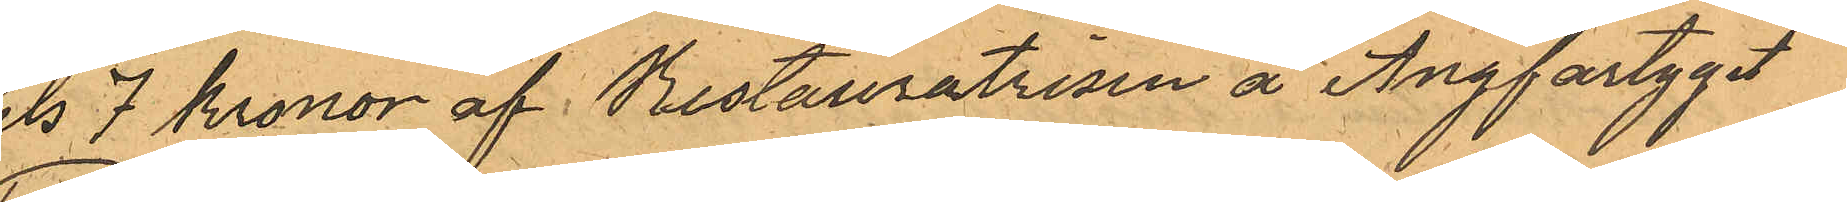dels 7 kronor af Restauratrisen å Ångfartyget
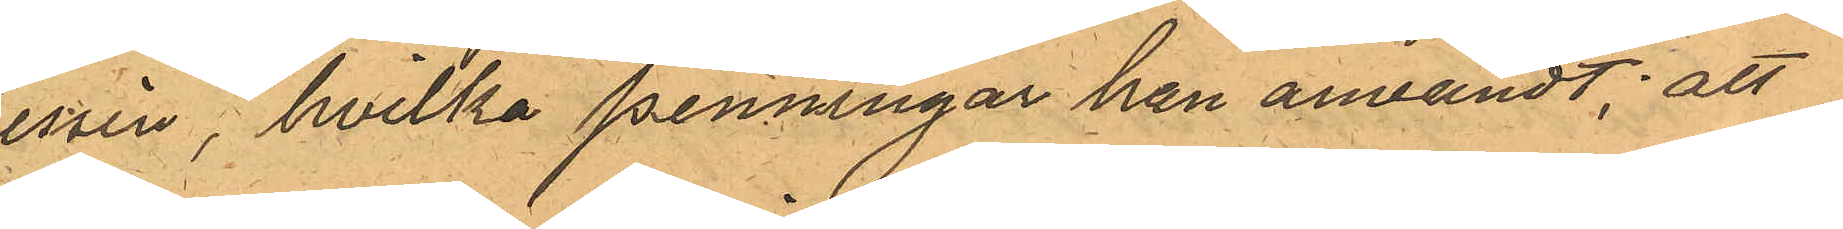"Tessin", hvilka penningar han användt; att
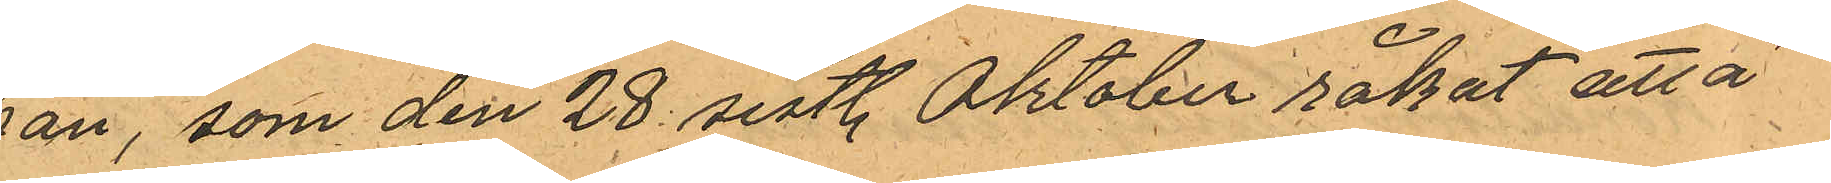han, som den 28 sistl. Oktober råkat att å
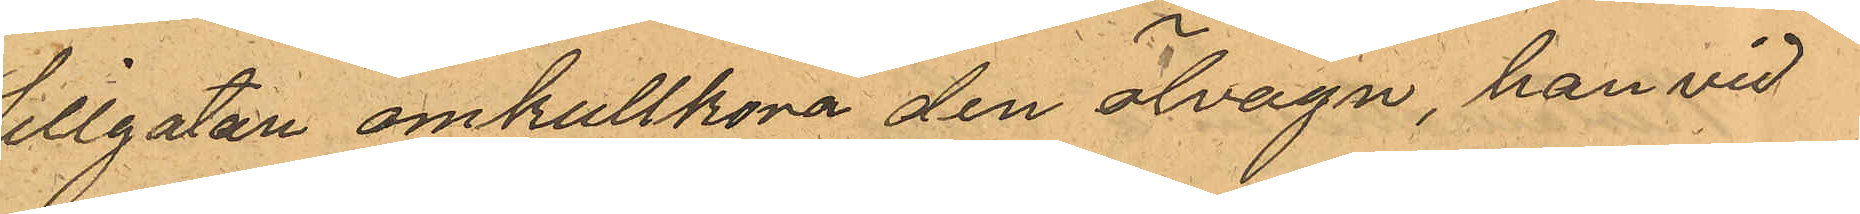Sillgatan omkullköra den ölvagn, han vid
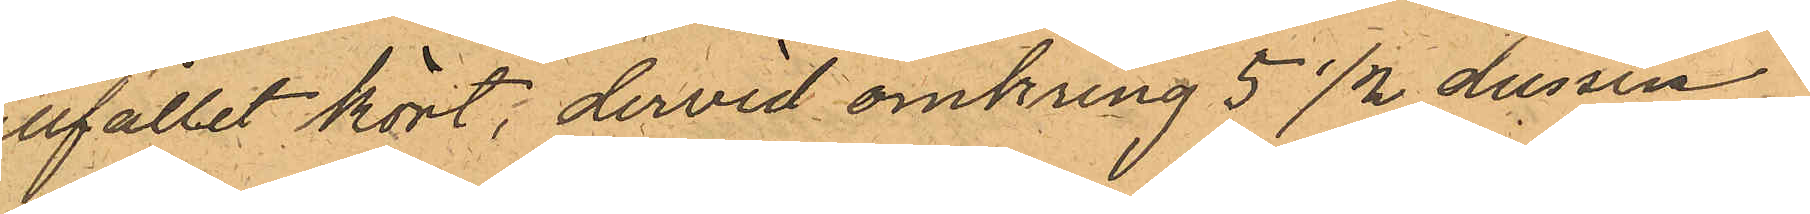tillfället kört, dervid omkring 5 1/2 dussin
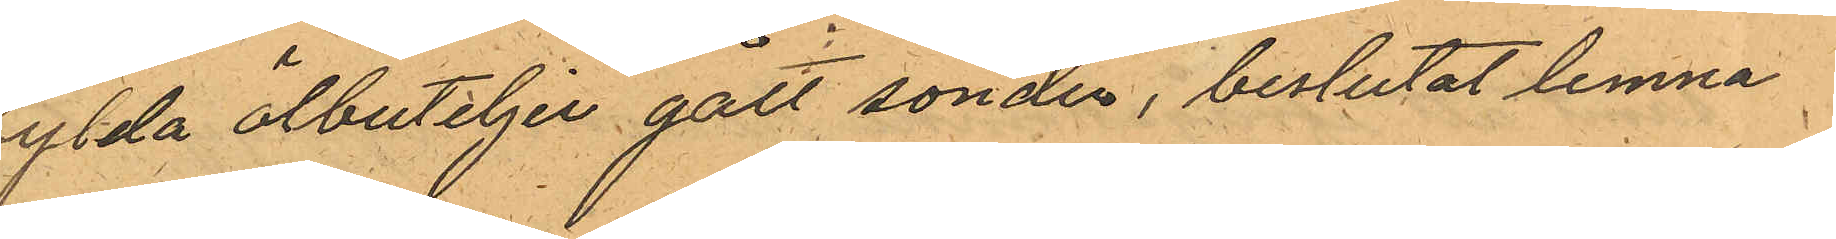fylda ölbuteljer gått sönder, beslutat lemna
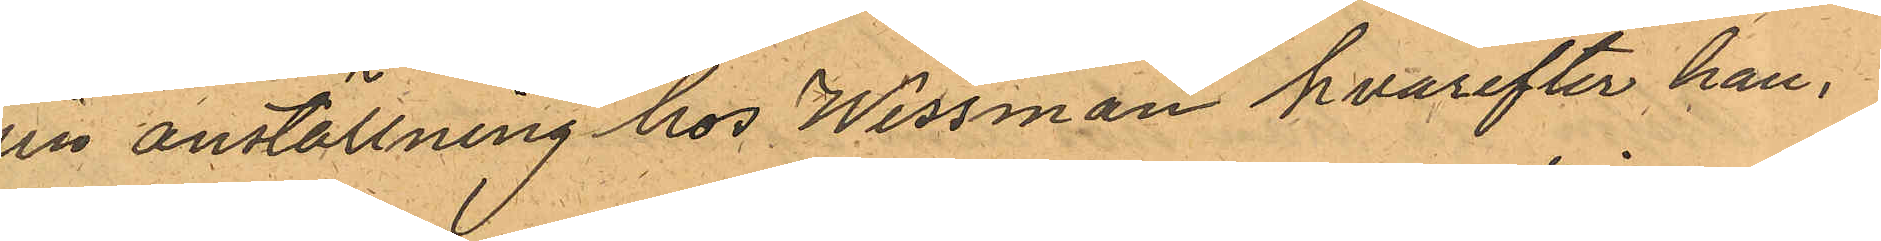sin anställning hos Wessman hvarefter han,
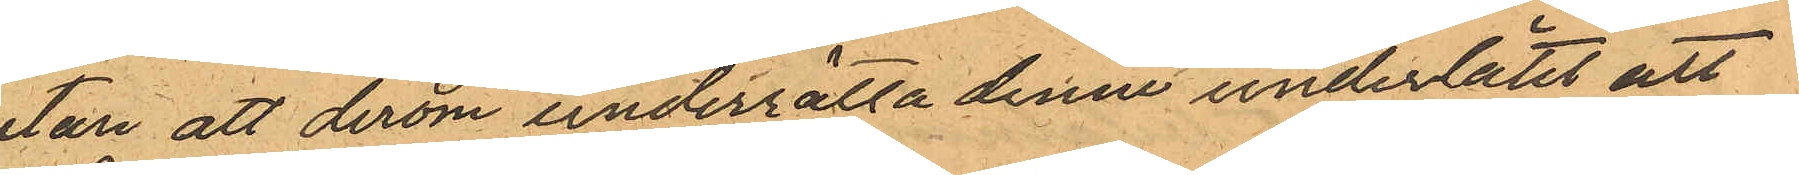utan att derom underrätta denne underlåtit att
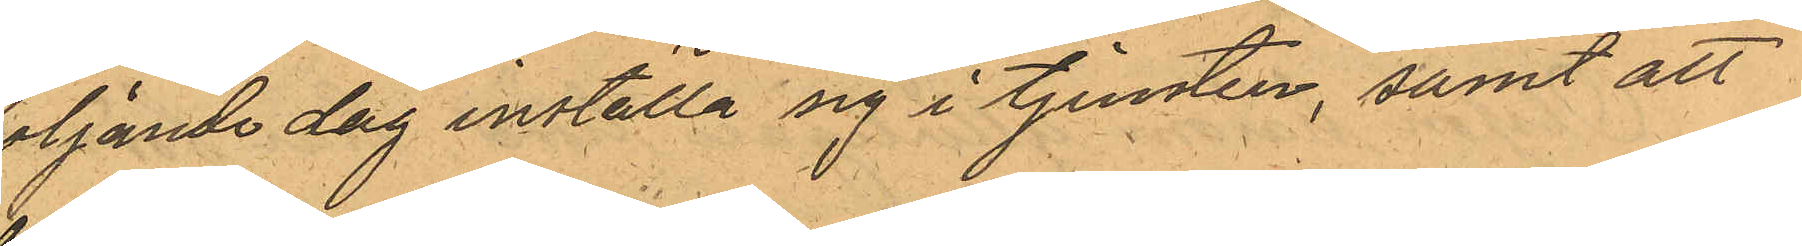följande dag inställa sig i tjensten, samt att
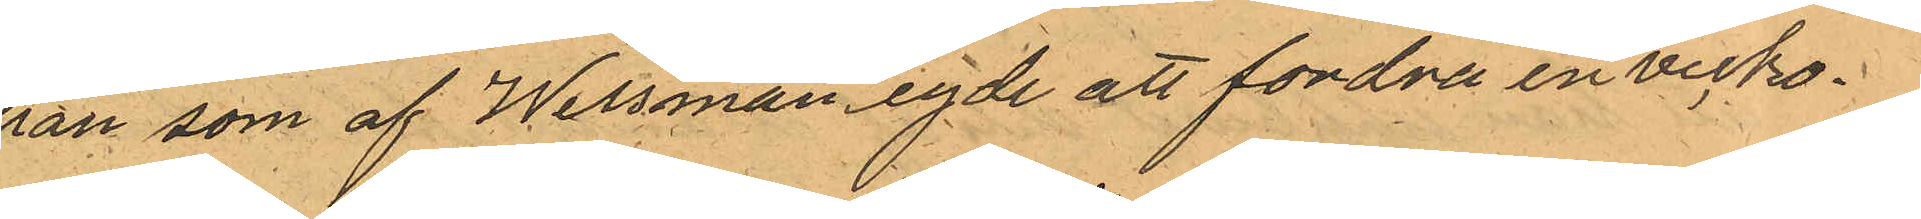han som af Wessman egde att fordra en vecko¬
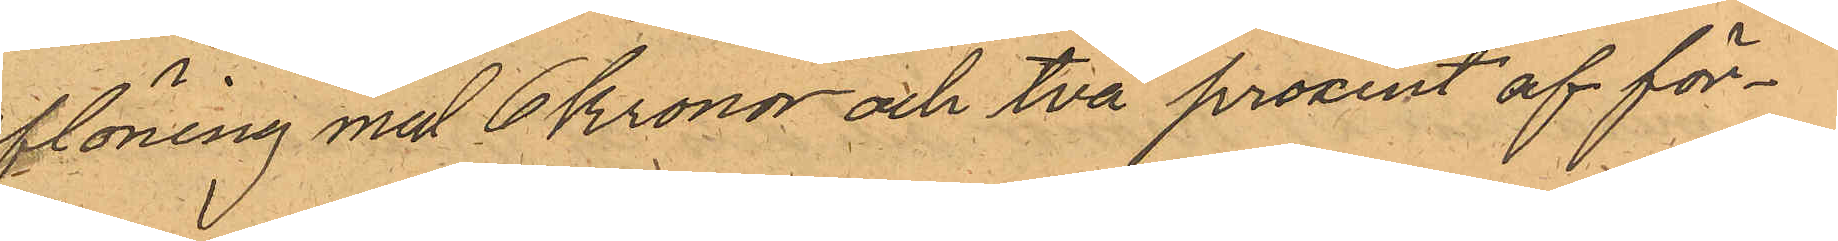aflöning med 6 Kronor och två procent af för¬
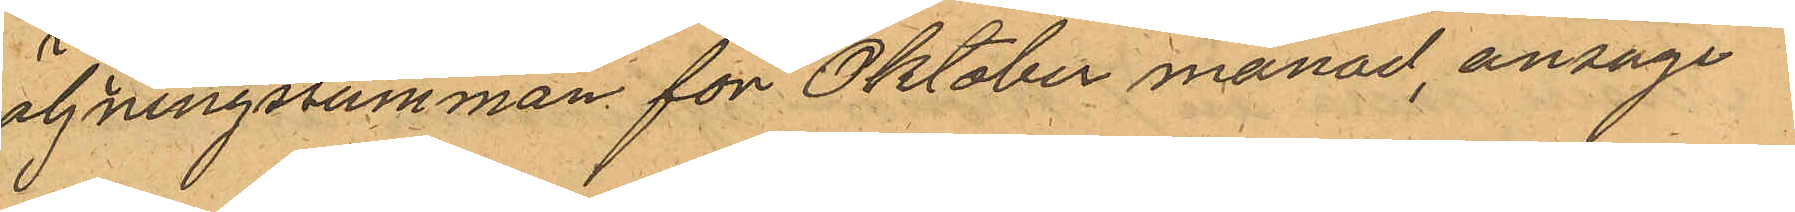säljningssumman för Oktober månad, ansåge
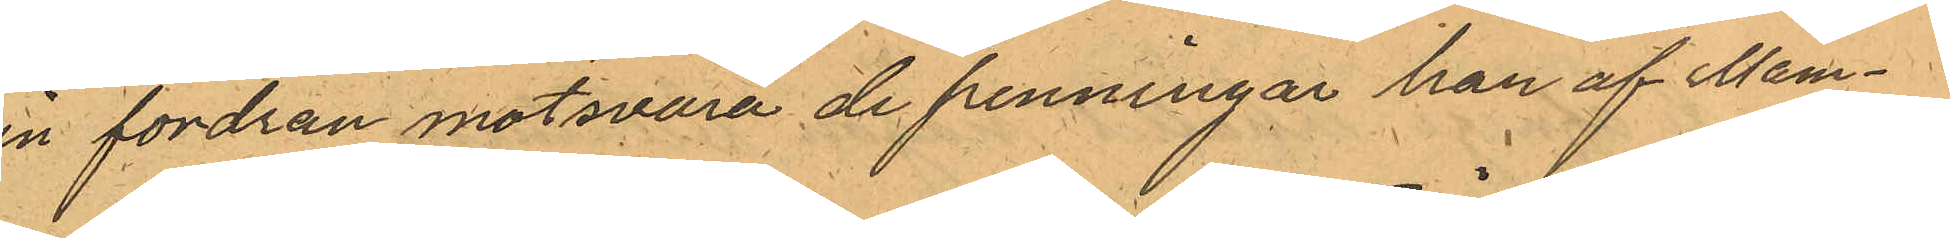sin fordran motsvara de penningar han af Mam¬
